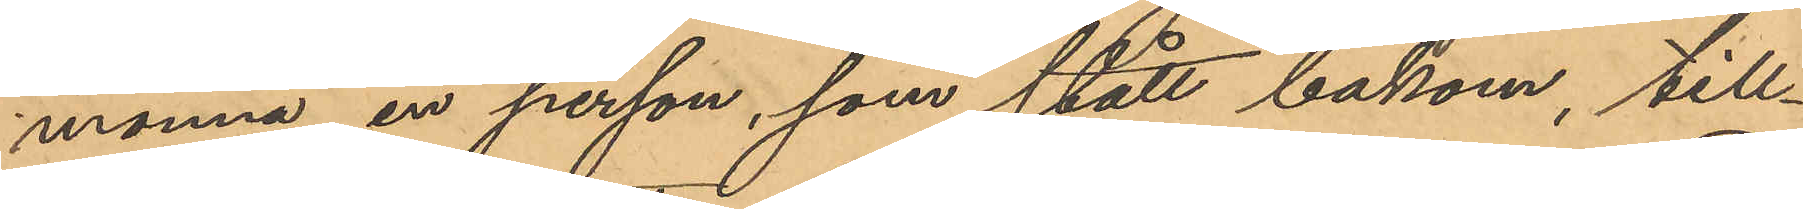monnä en person, som stått bakom, till¬
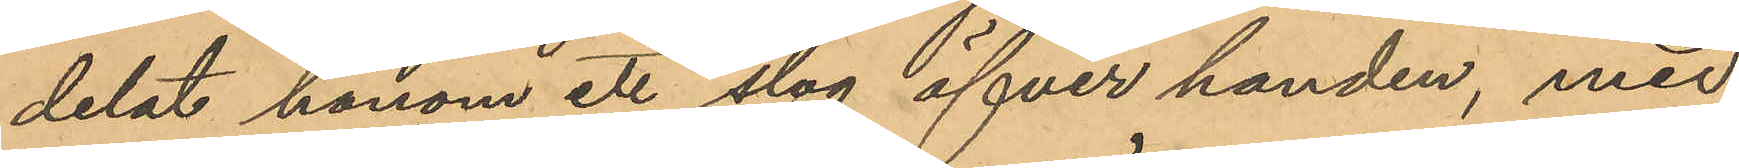delat honom ett slag öfver handen, med
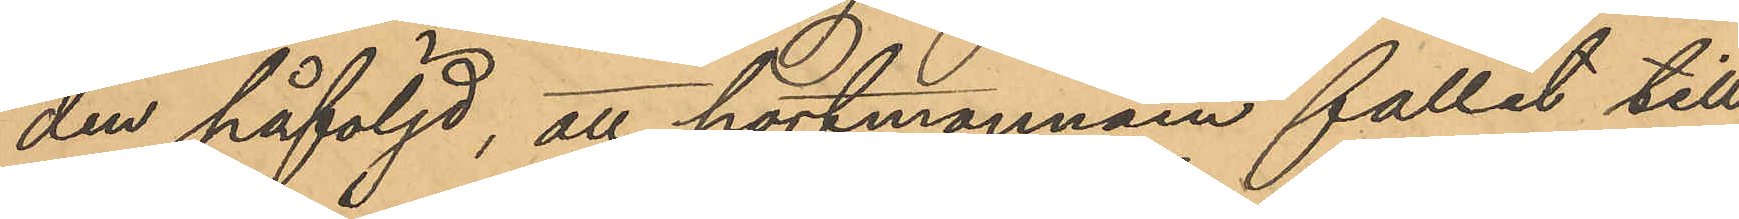den påföljd, att portmonnäen fallit till
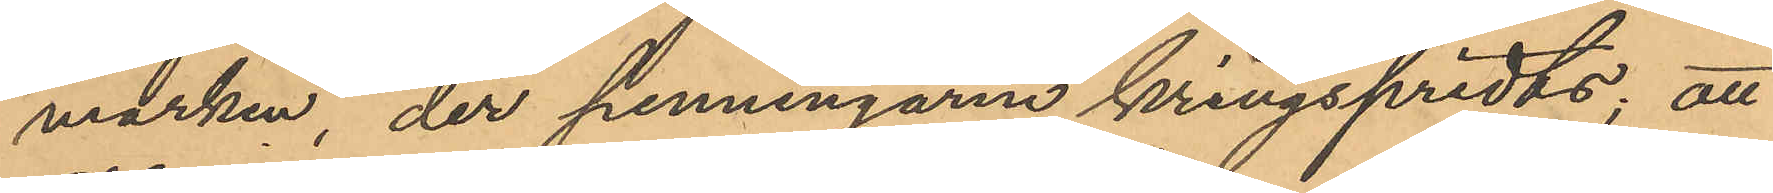marken, der penningarne kringspridts; att
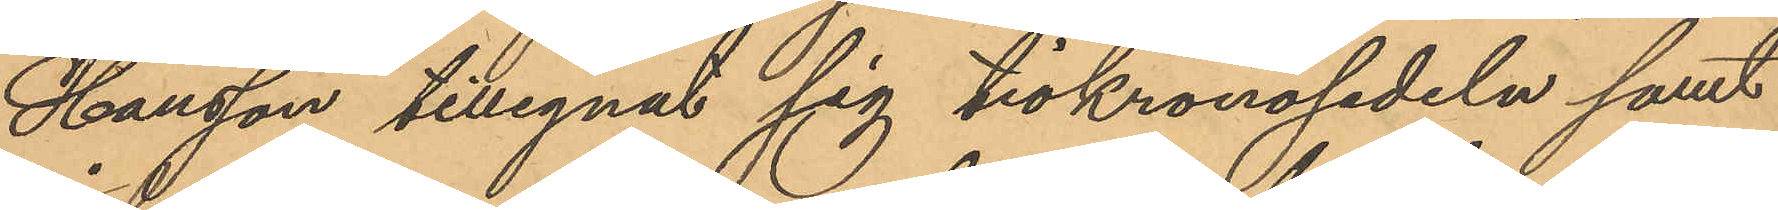Hansson tillegnat sig tiokronosedeln samt
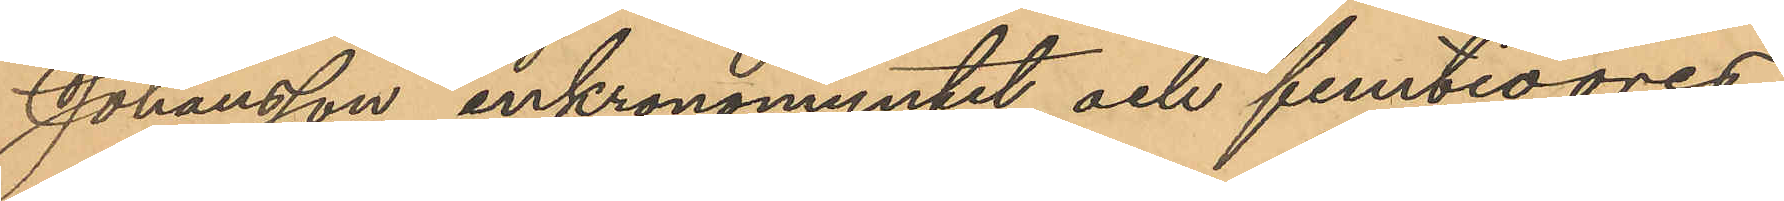Johansson enkronomyntet och femtioöres¬
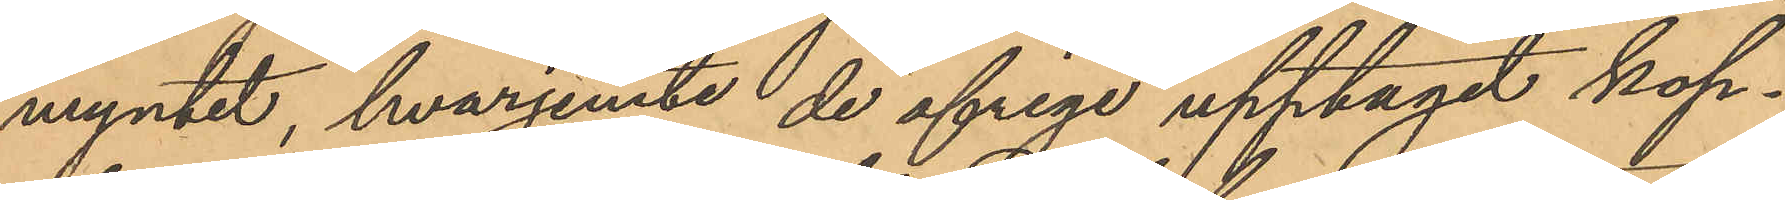myntet, hvarjemte de öfrige upptagit kop¬
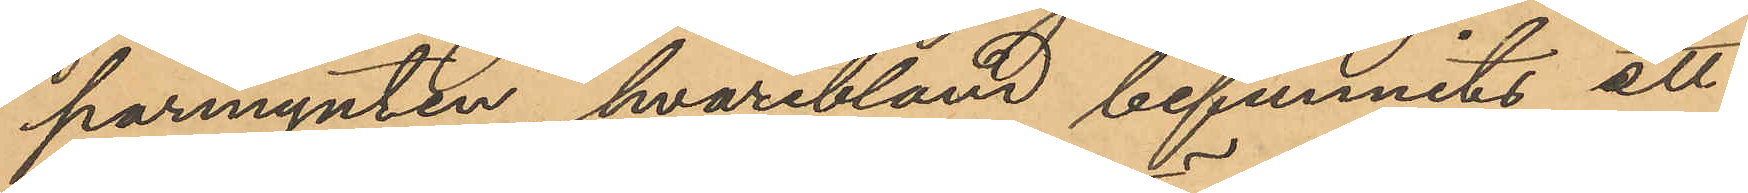parmynten, hvaribland befunnits ett
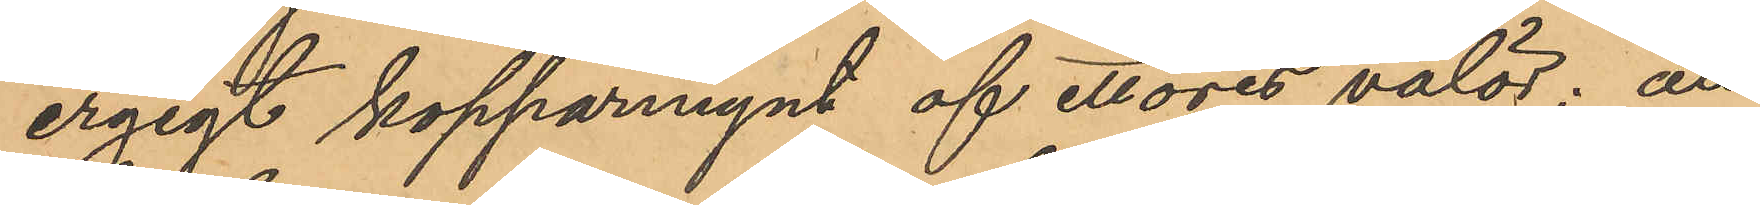ergigt kopparmynt af ettöres valör; att
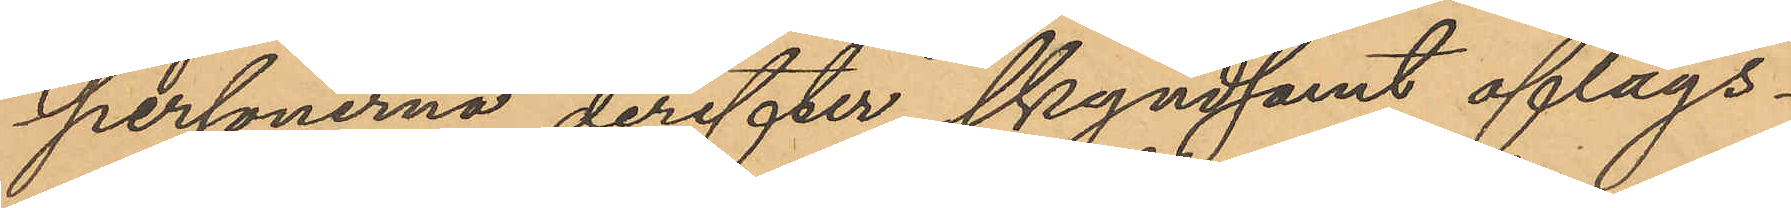personerna derefter skyndsamt aflägs¬
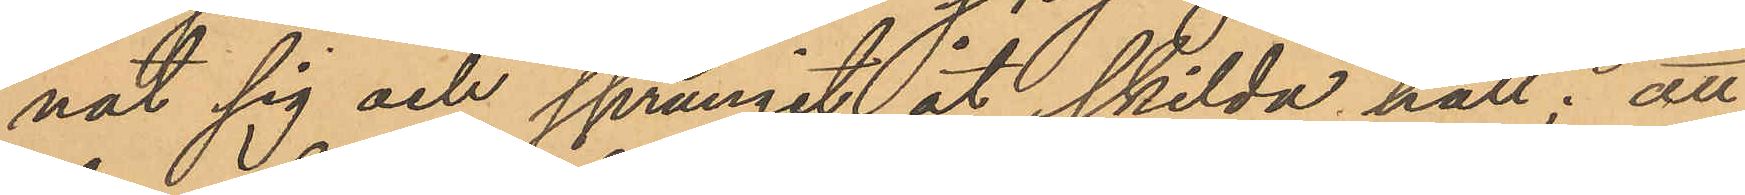nat sig och sprungit åt skilda håll; att
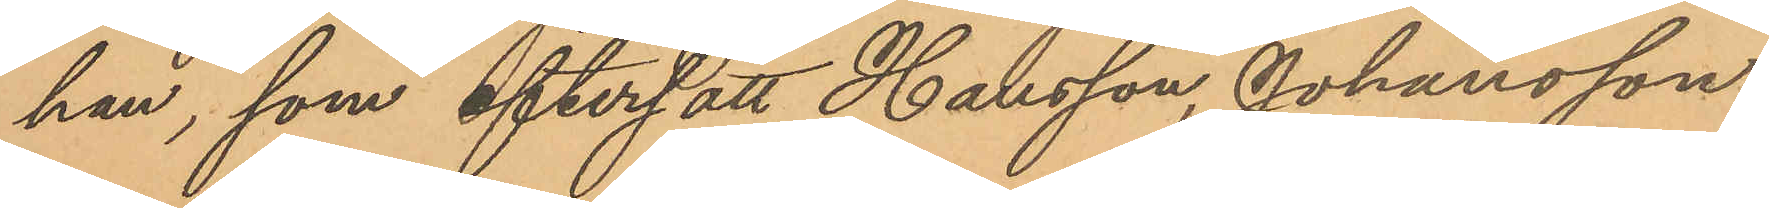han, som eftersatt Hansson, Johansson
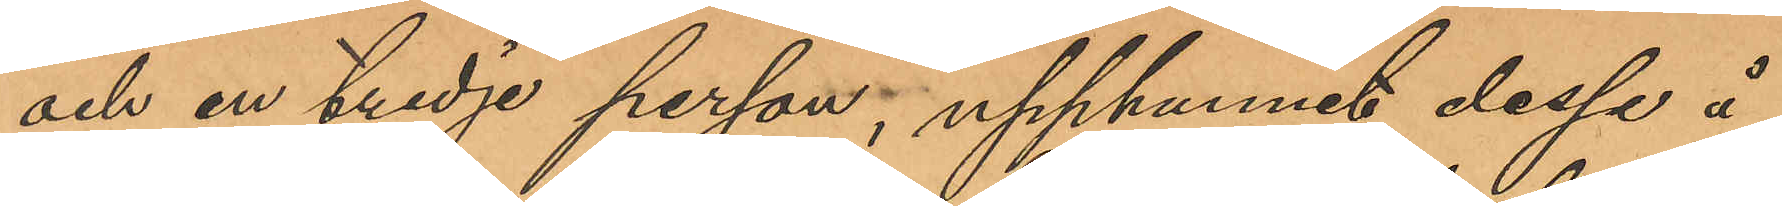och en tredje person, upphunnit dessa å
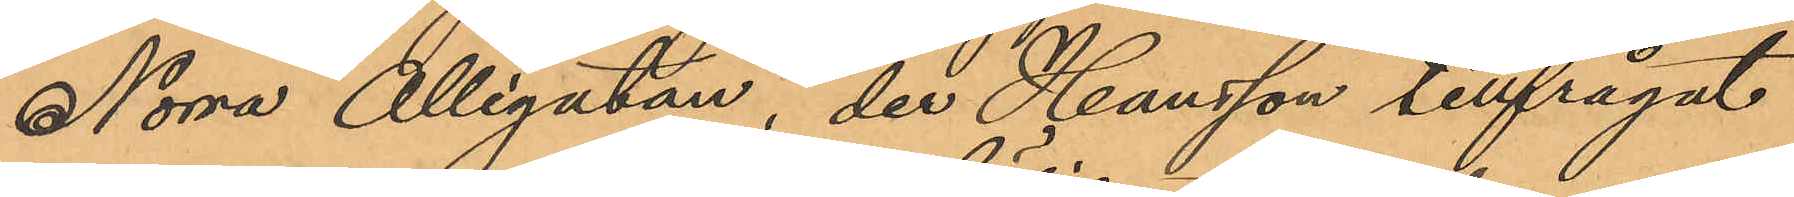Norra Allégatan, der Hansson tillfrågat
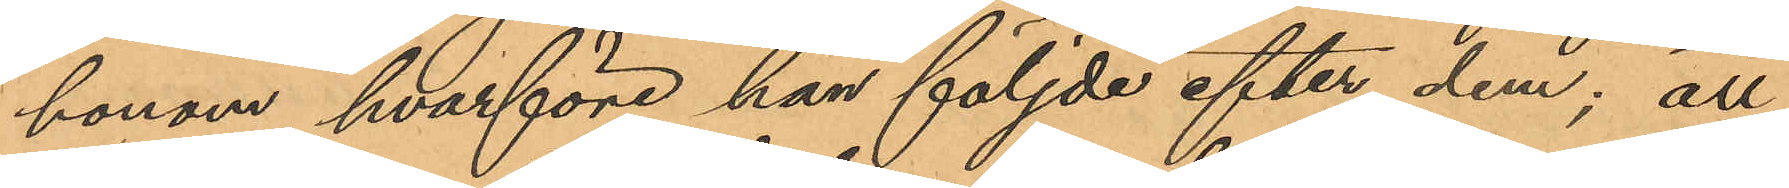honom hvarföre han följde efter dem; att
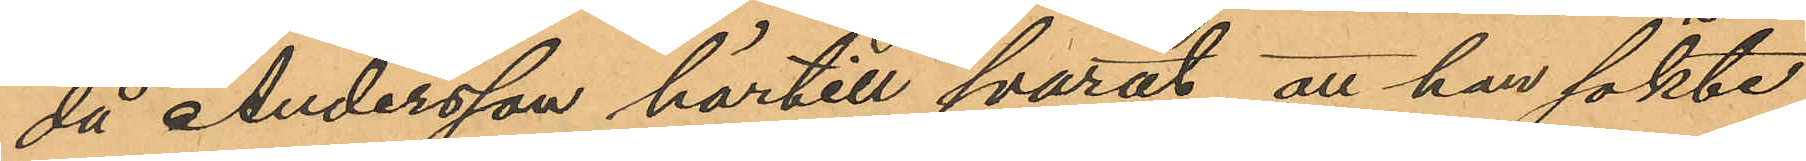då Andersson härtill svarat att han sökte
